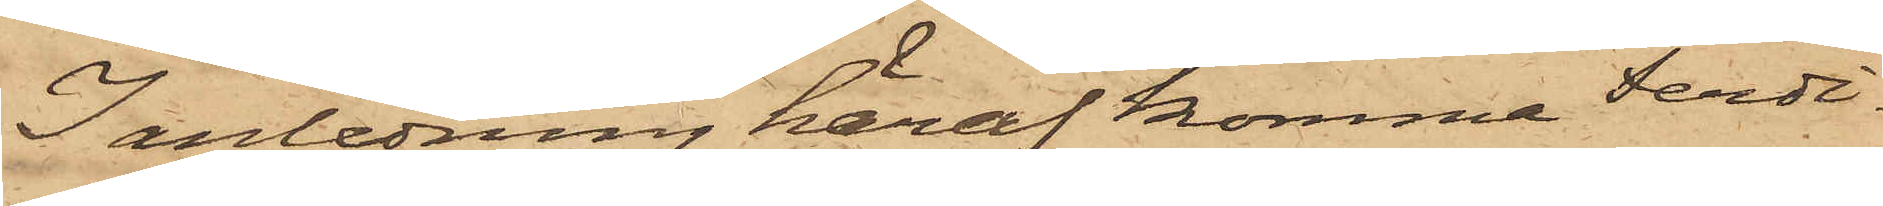I anledning häraf komma Ferdi¬
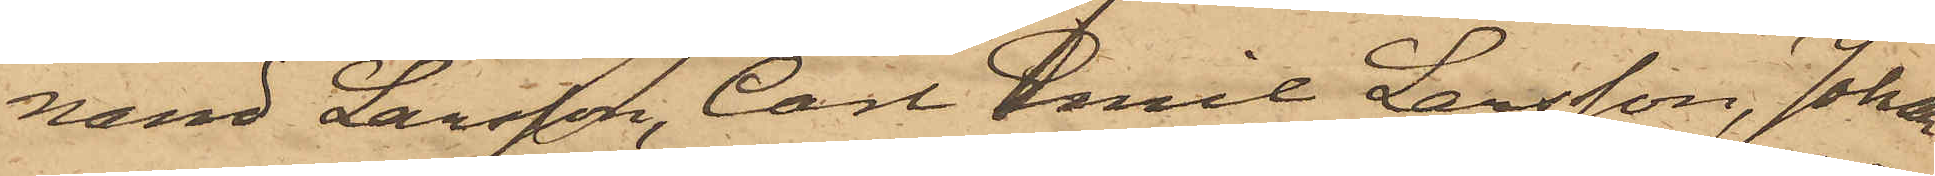nand Larsson, Carl Emil Larsson, Johan
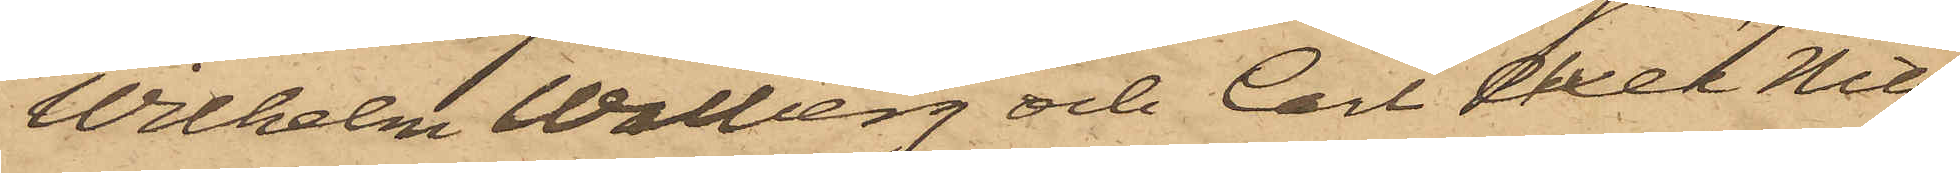Wilhelm Walberg och Carl Axel Nils¬
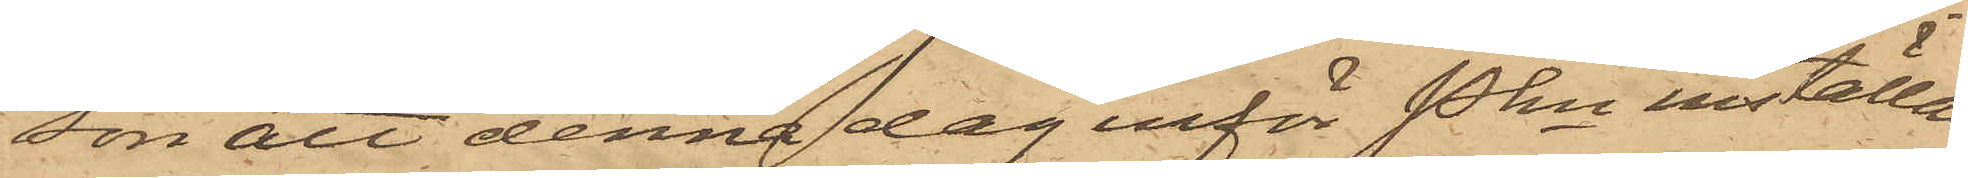son att denna dag inför Pkn inställas
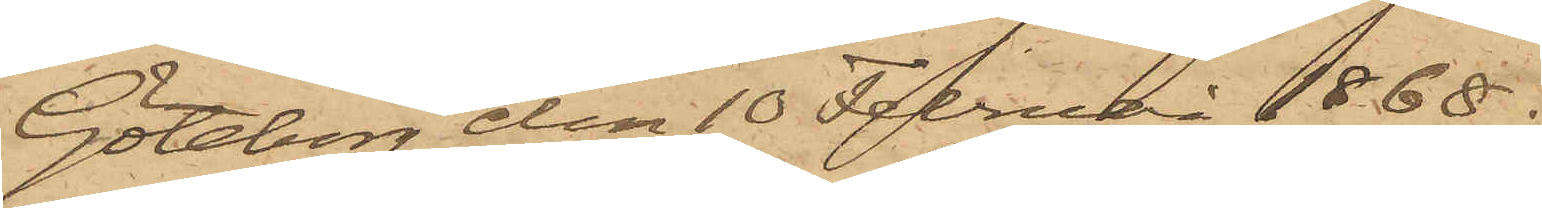Göteborg den 10 Februari 1868.
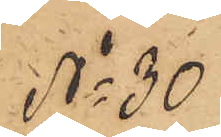No 30.
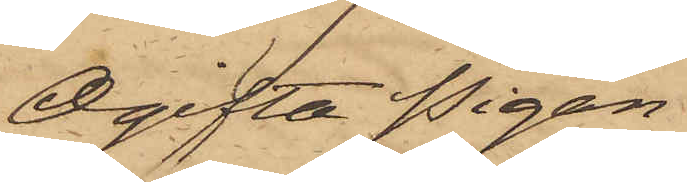Ogifta Pigan
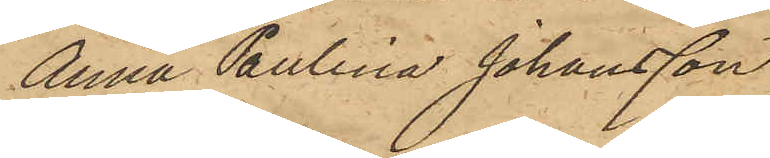Anna Paulina Johansson
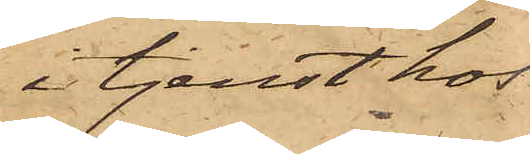i tjenst hos
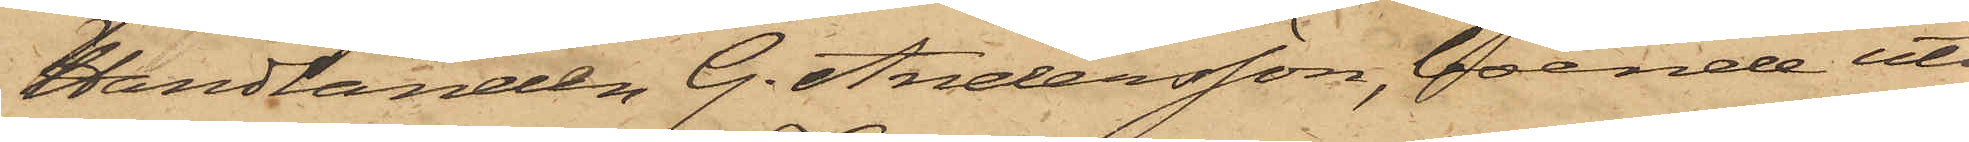Handlanden G. Andersson, boende uti
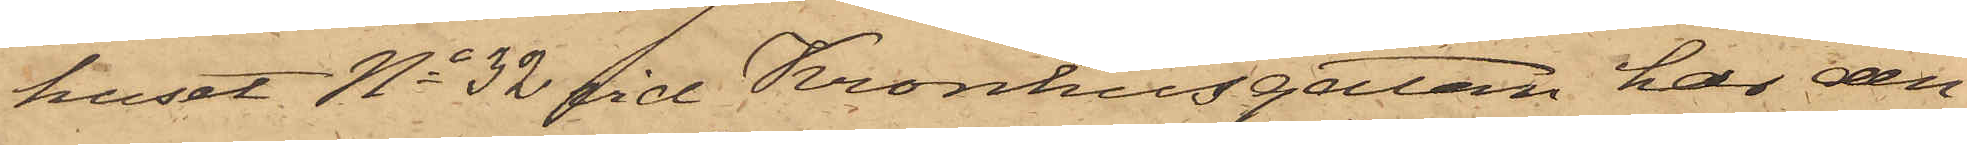huset No 32 vid Kronhusgatan har den
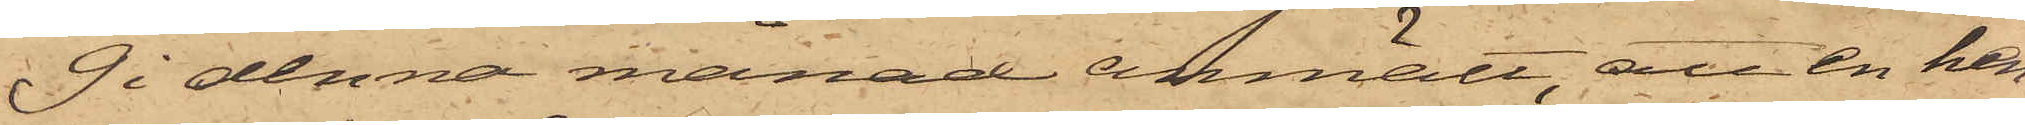9 i denna månad anmält, att en hen¬
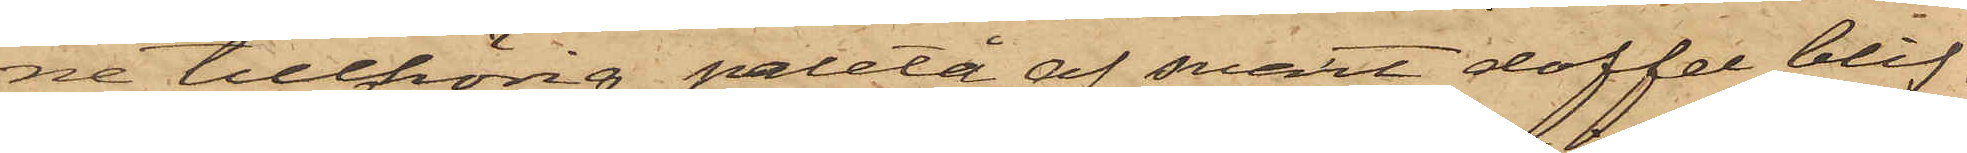ne tillhörig paletå af svart doffel blif¬
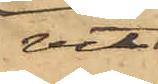vit
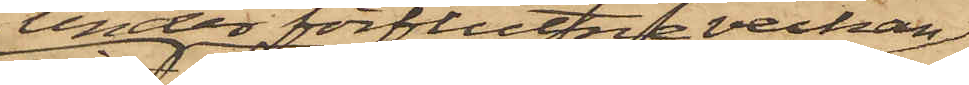under förflutne veckan
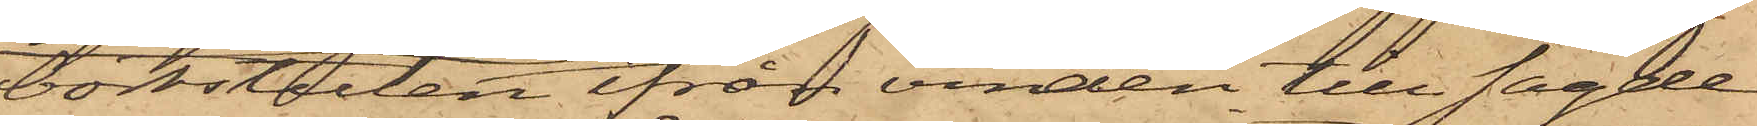bortstulen ifrån vinden till sagde
